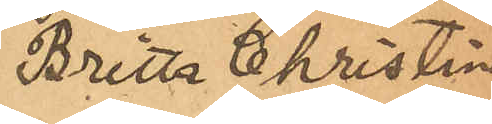Britta Christina
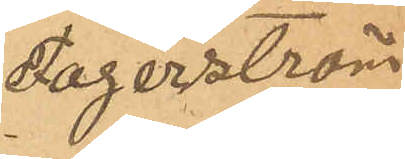Fagerström
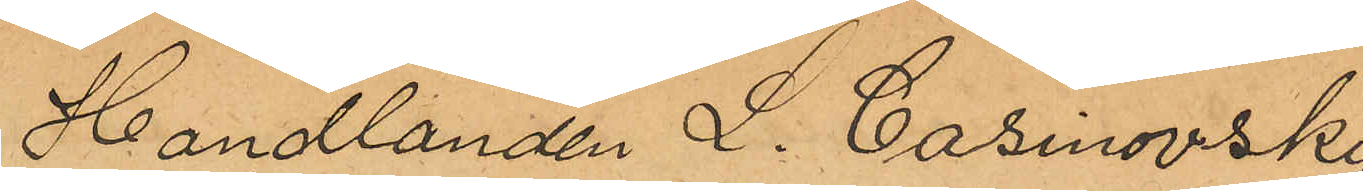Handlanden L. Casinovsky,
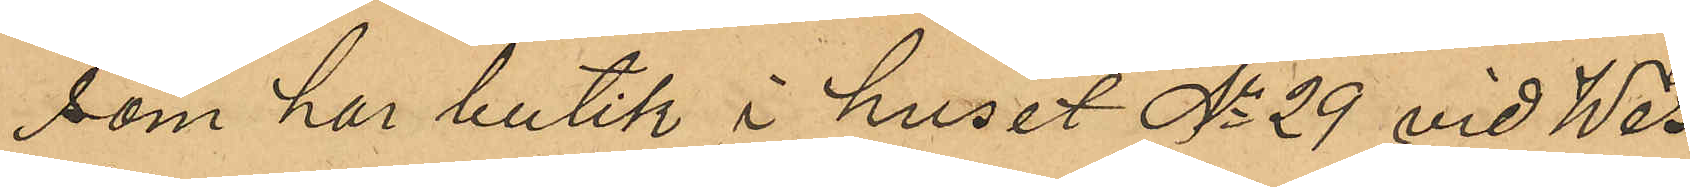som har butik i huset No 29 vid Wes¬
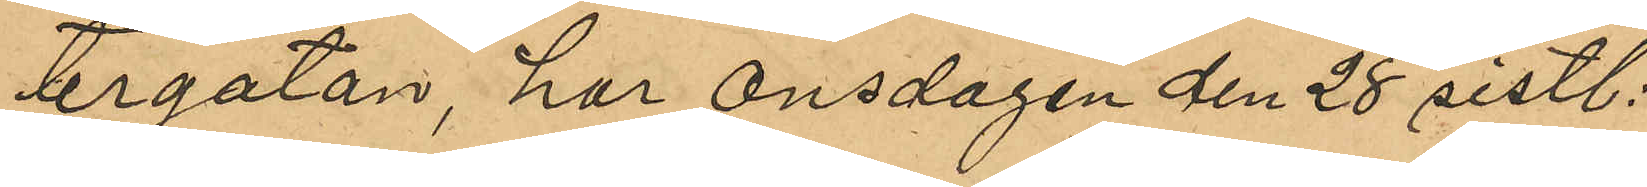tergatan, har onsdagen den 28 sistl
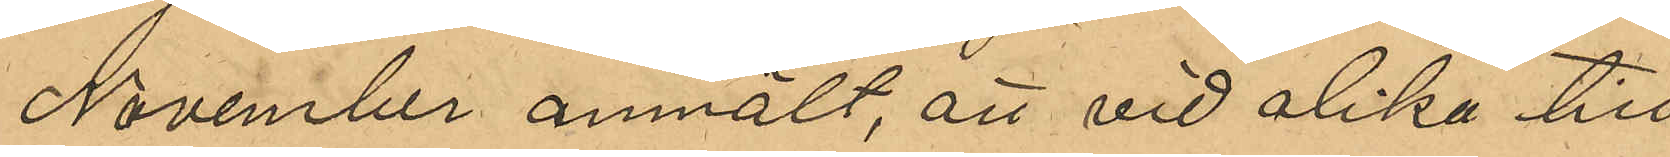November anmält, att vid olika till¬
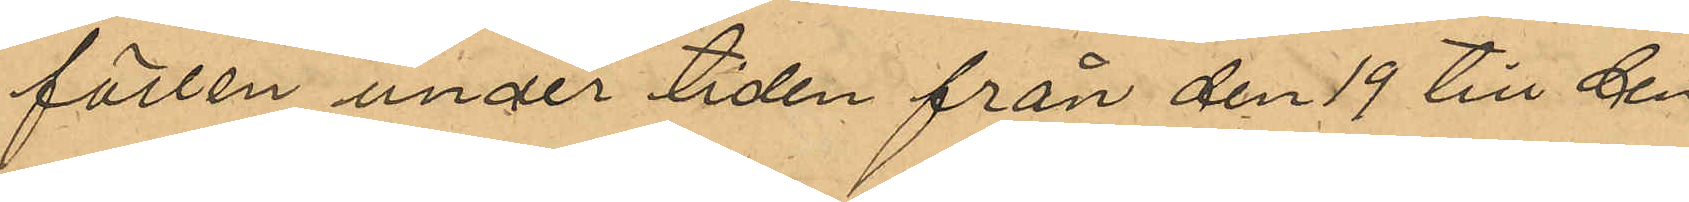fällen under tiden från den 19 till den
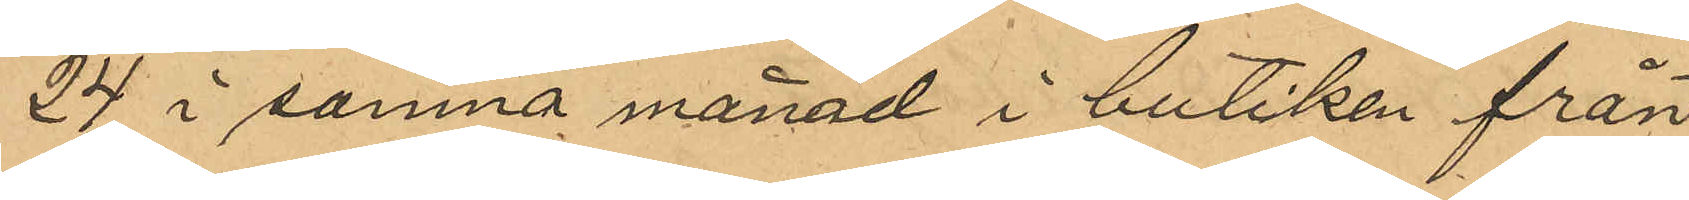24 i samma månad i butiken från
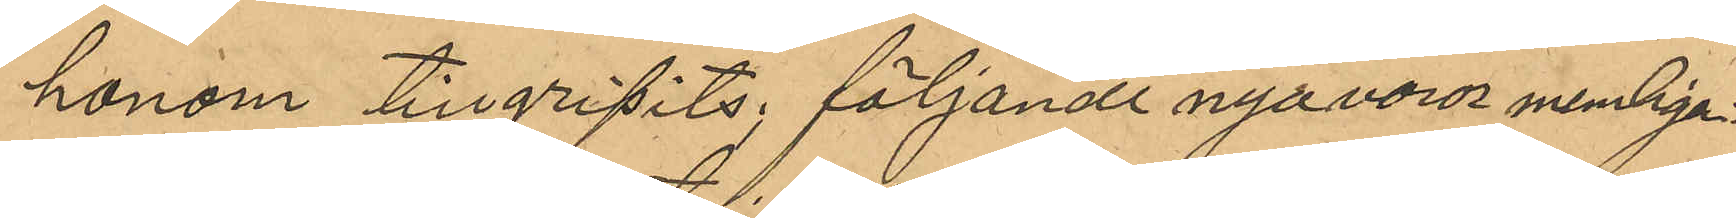honom tillgripits följande nya varor nemligen:
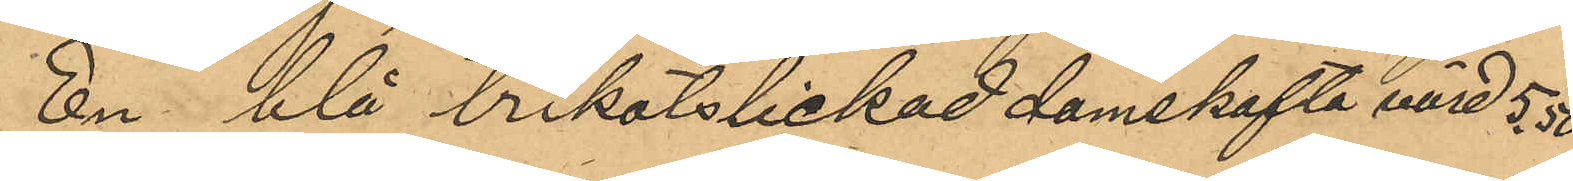En blå trikotstickad damkofta värd 5,50
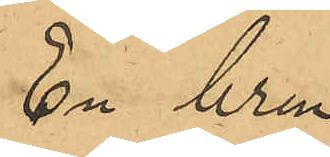En brun
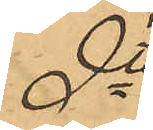dto
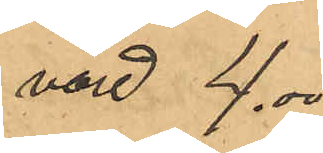värd 4,00
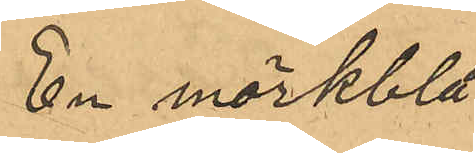En mörkblå
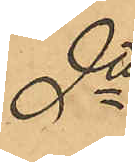dto
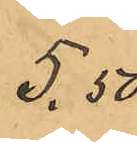 5,50
